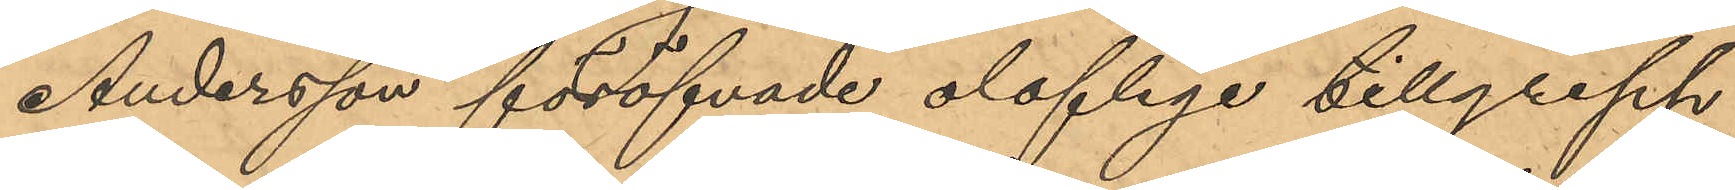Andersson föröfvade oloflige tillgrepp
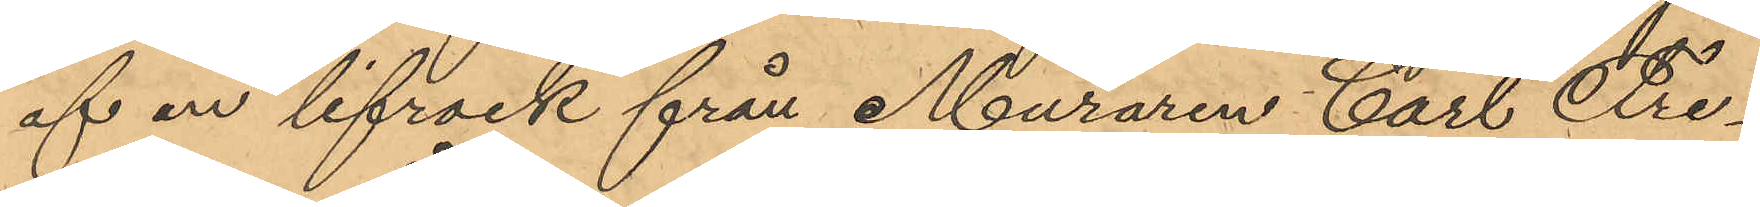af en lifrock från Muraren Carl Fre¬
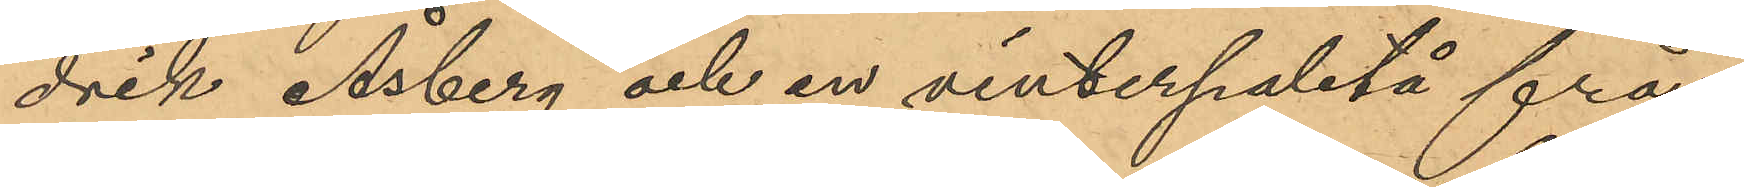drik Åsberg och en vinterpaletå från
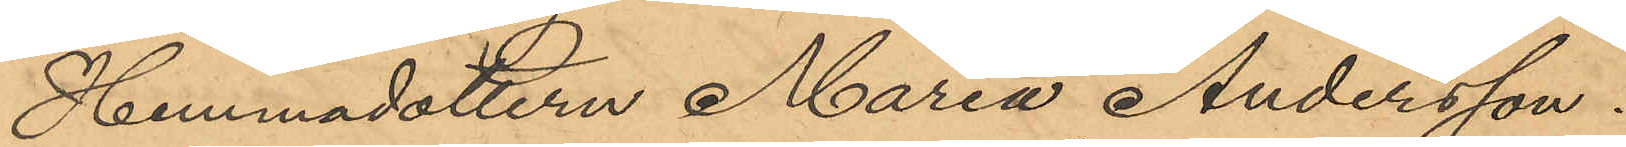Hemmadottern Maria Andersson.
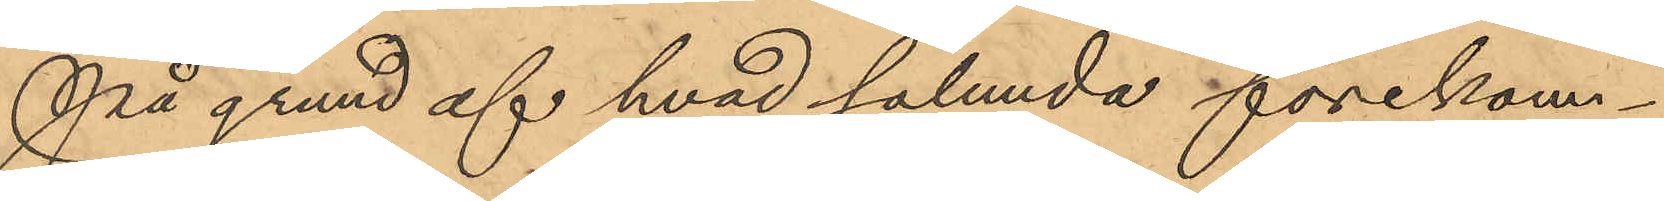På grund af hvad sålunda förekom¬
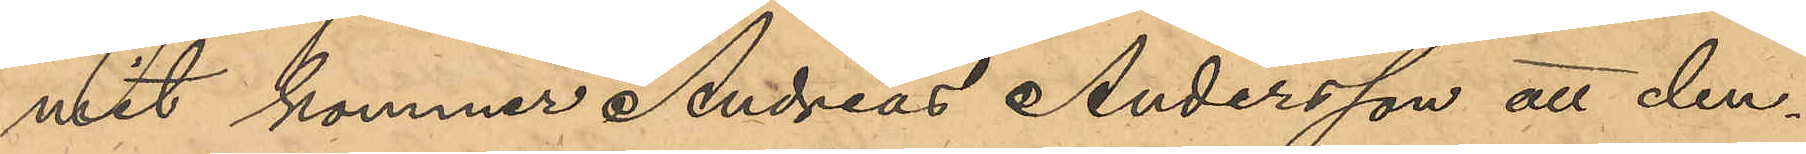mit kommer Andreas Andersson att den¬
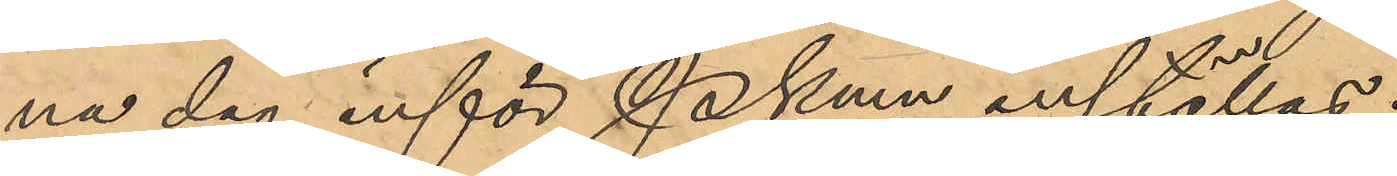na dag inför Pkmn inställas.
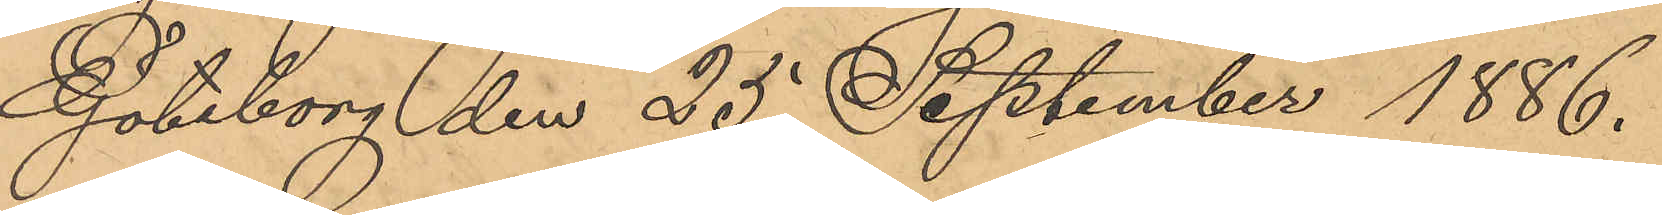Göteborg den 25 September 1886.
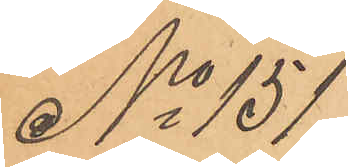No 151
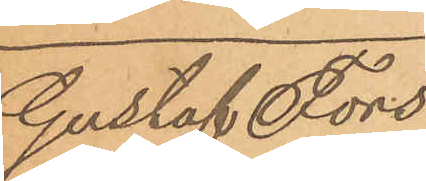Gustaf Fors¬
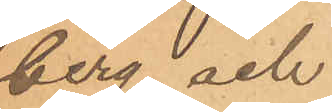berg och
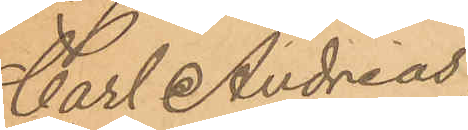Carl Andreas
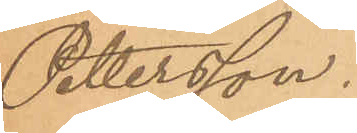Pettersson.
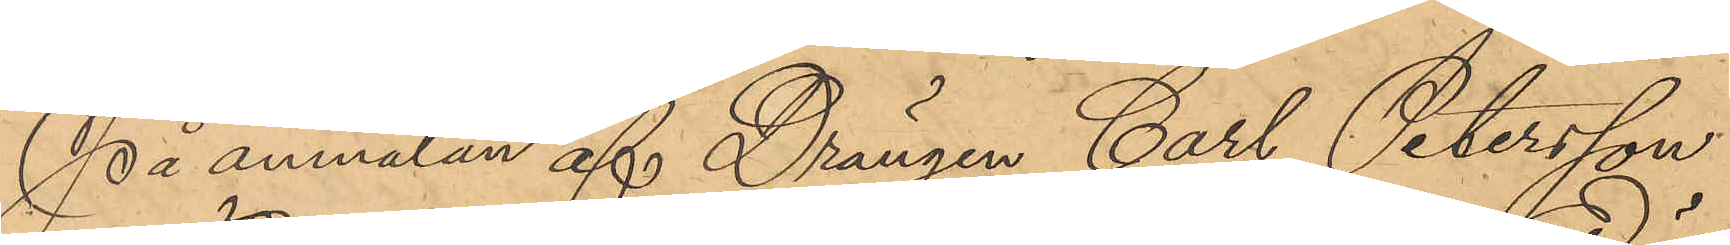På anmälan af Drängen Carl Petersson,
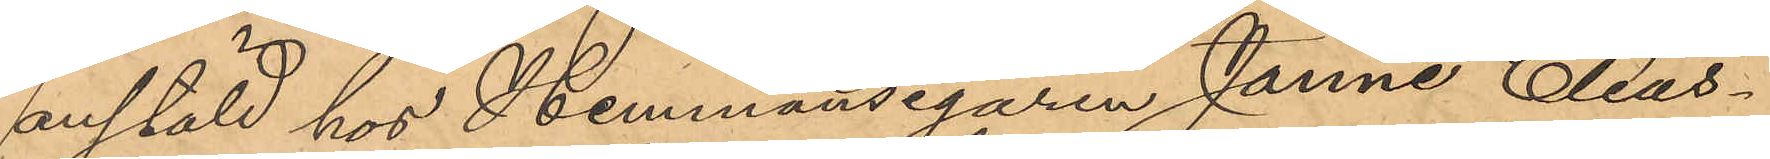anstäld hos Hemmansegaren Janne Elias¬
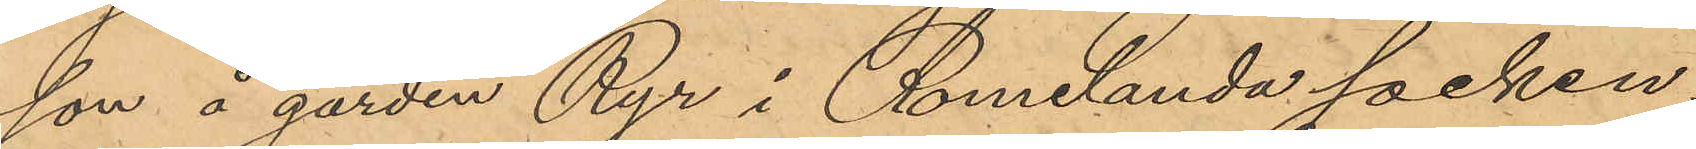son å gården Ryr i Romelanda socken,
